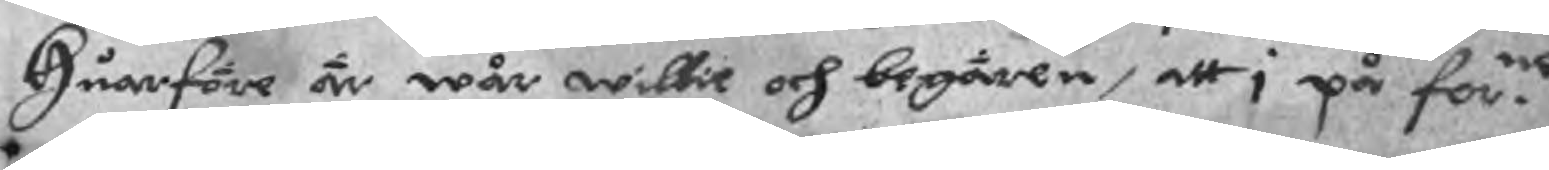Huarföre är wår willie och begären, att i på for.ne
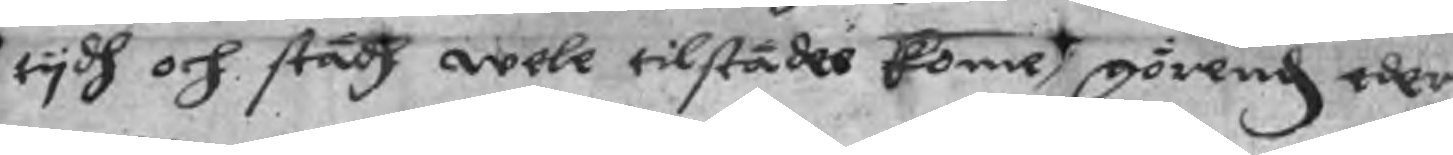tydh och städh wele tilstädes kome, görend eder
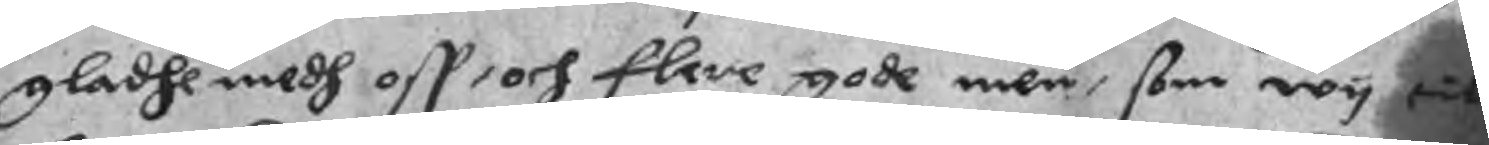gladhe medh oss och flere gode men, som wy till
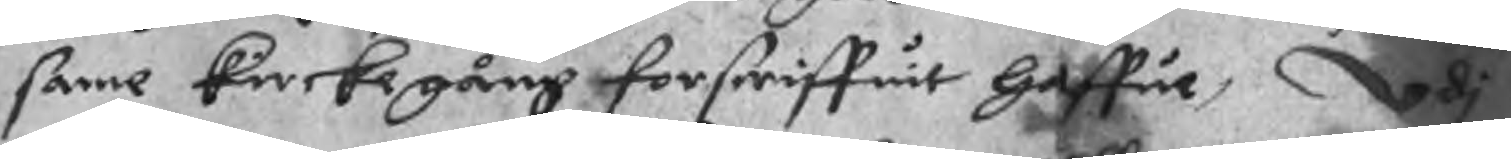same kierkegång förscriffuit haffue, udi
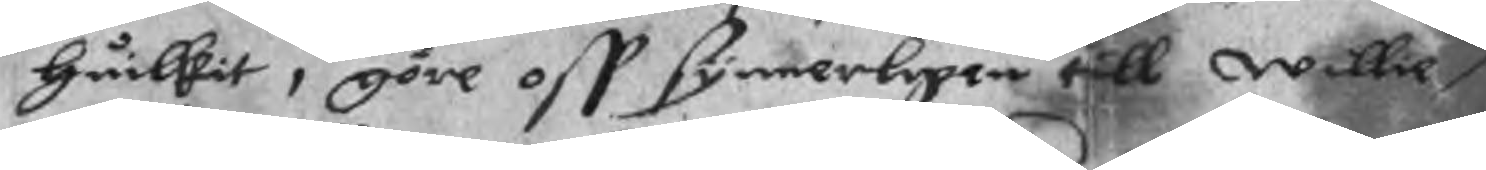huilkit i göre oss synnerligen till willie,
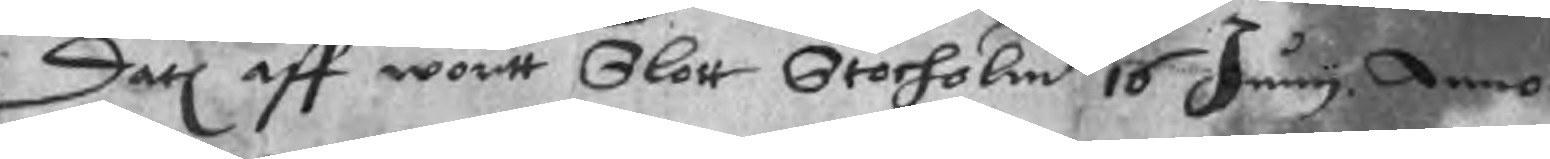Datl. aff wortt Slott Stocholm 16 Juni. Anno
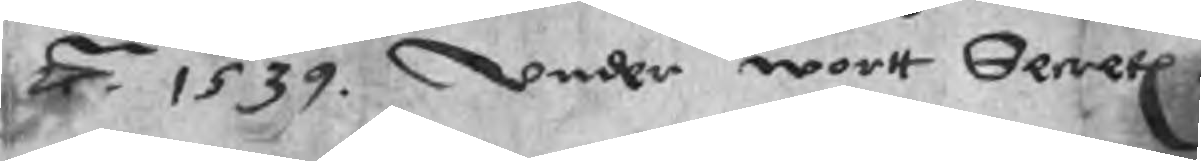År 1539. Under wort Secrete
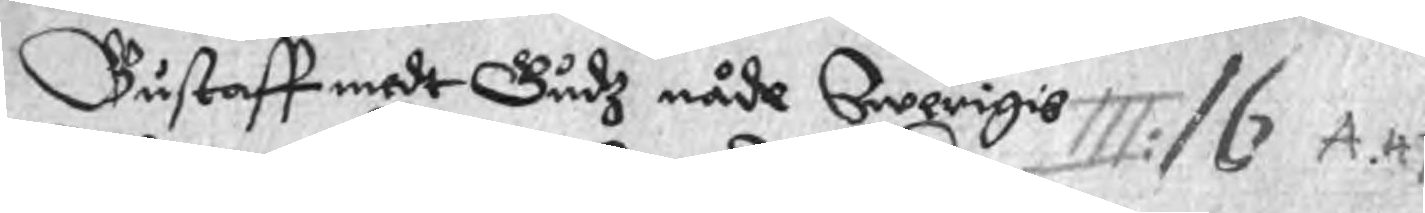Gustaff medt Gudz nåde Swerigis 
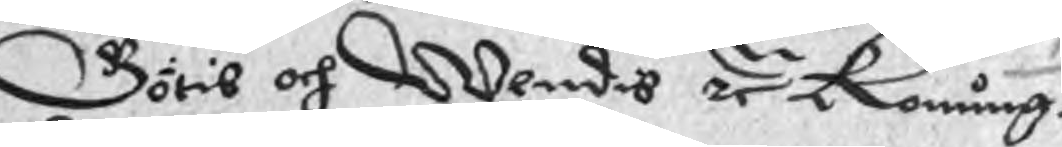Götis och Wendis zr Konung.
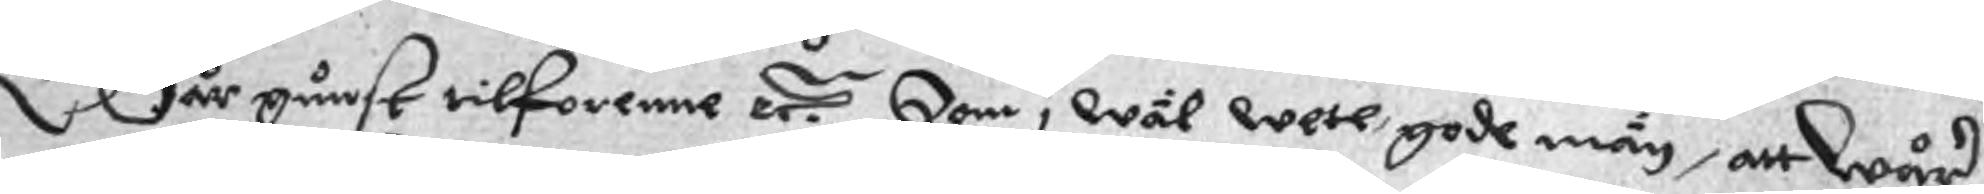Wår gunst tilforenne är. Som i wäl wete gode män, att Wår
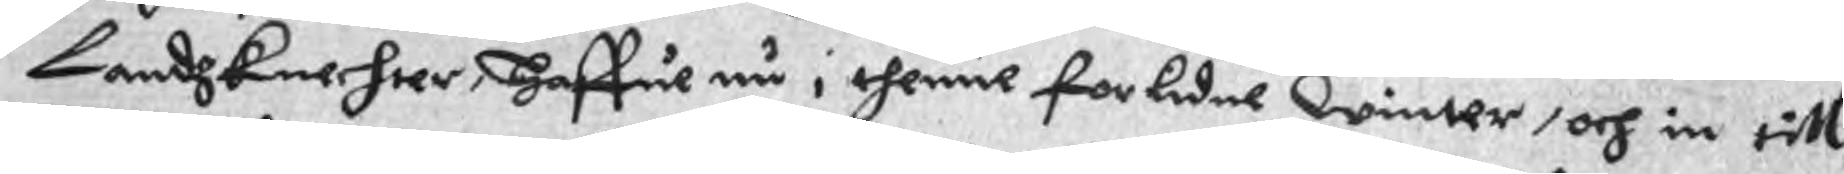Landzknechter,  Haffue nu i thenne förlidne winter, och in till
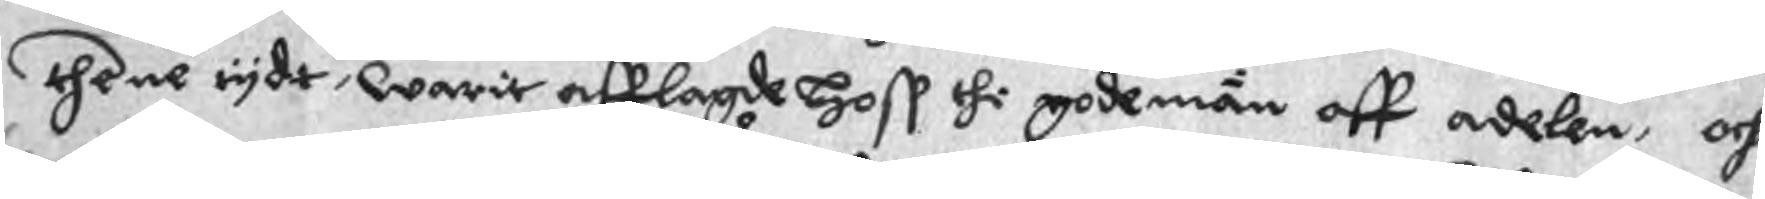thene tyde, warit afflagde hoss thi gode män aff adelen, och
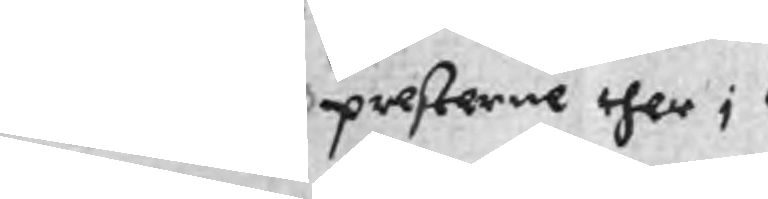presterne ther i 
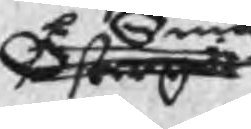Östergöt
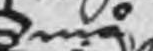Små¬
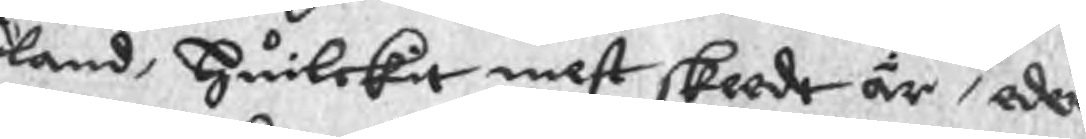land, huilckit mest skeedtär är, eder
